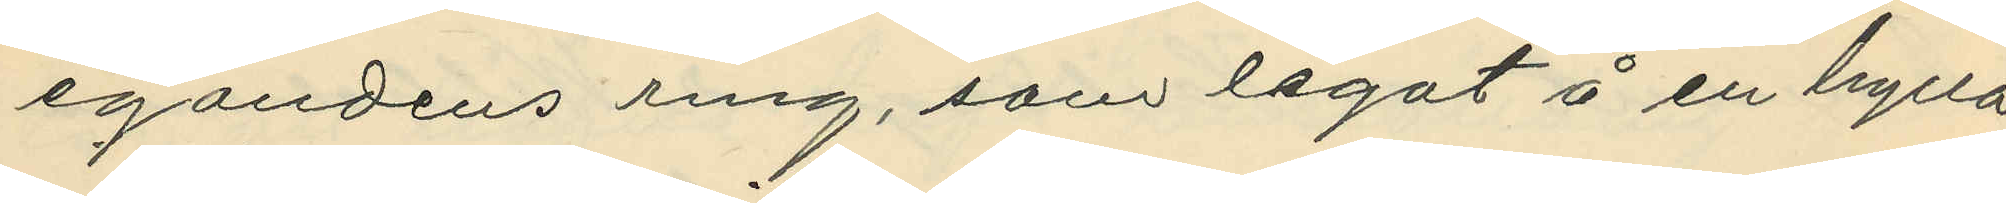egandens ring, som legat å en hylla
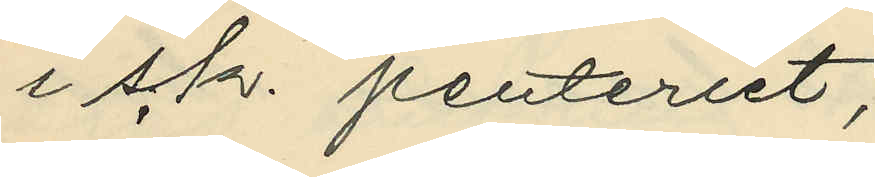i s.k. penteriet;
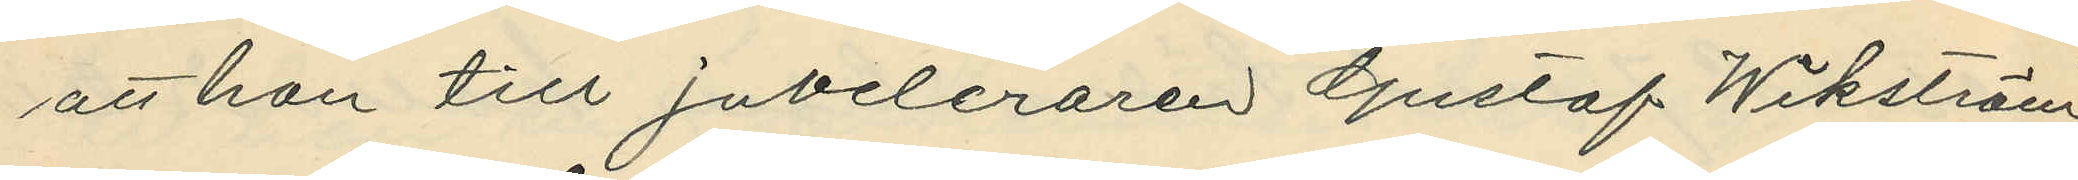att hon till juveleraren Gustaf Wikström,
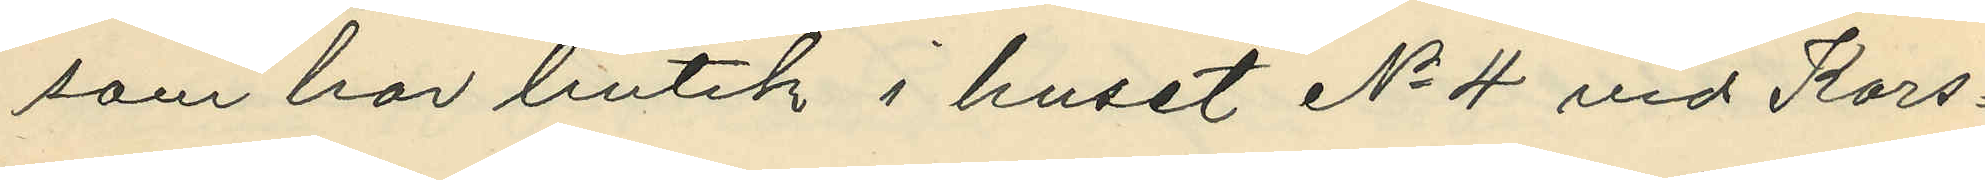som har butik i huset No 4 vid Kors¬
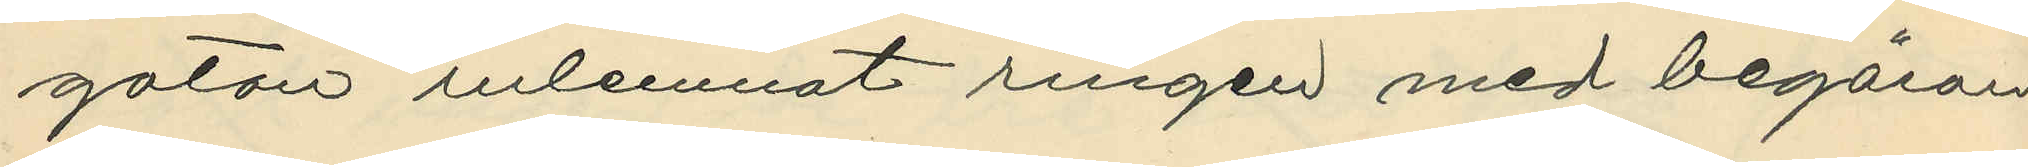gatan inlemnat ringen med begäran
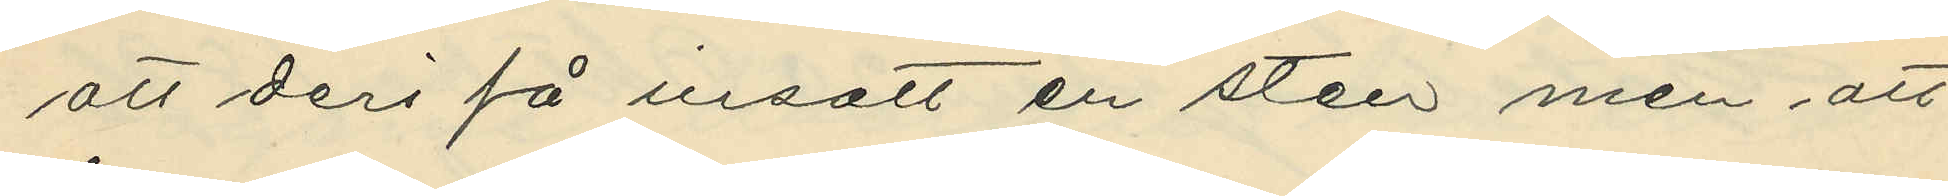att deri få insatt en sten men att
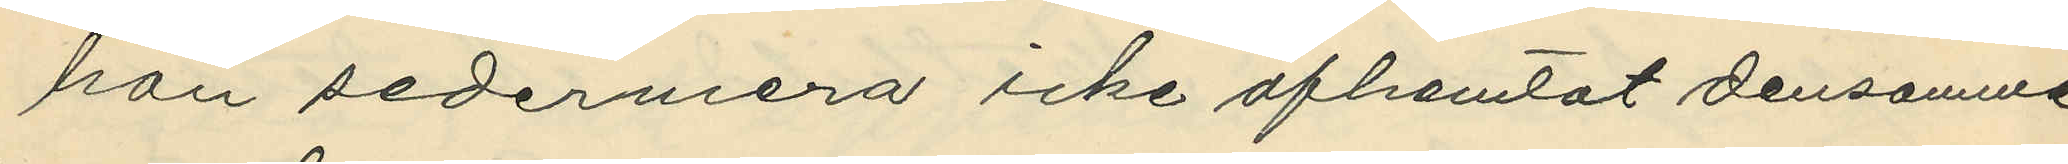hon sedermera icke afhemtat densamme,
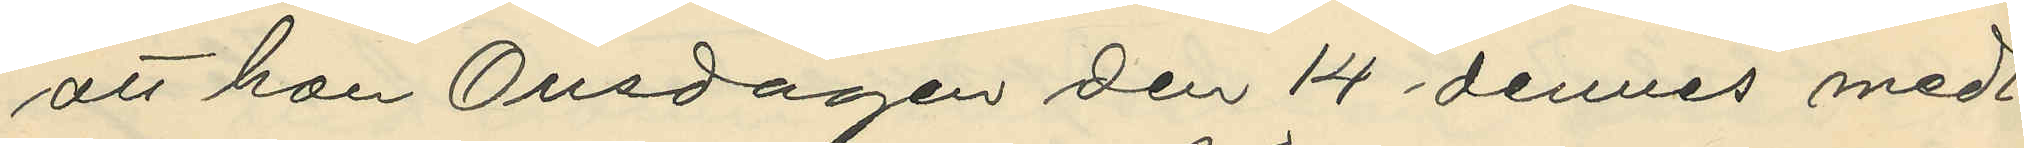att hon Onsdagen den 14 dennes med¬
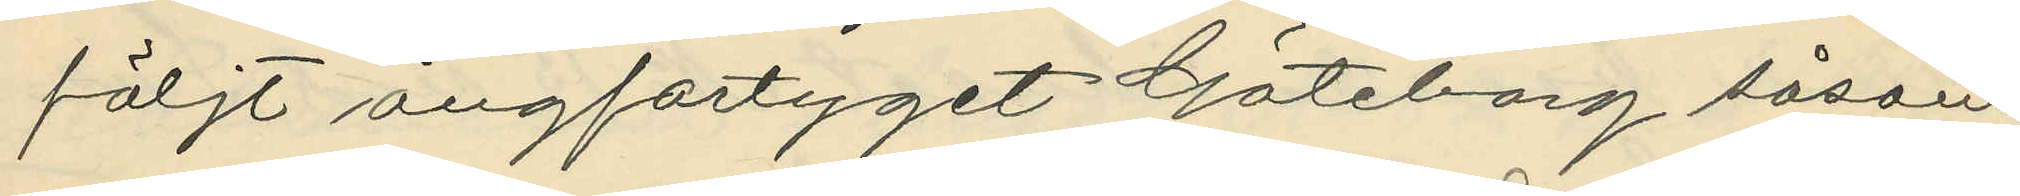följt ångfartyget Göteborg såsom
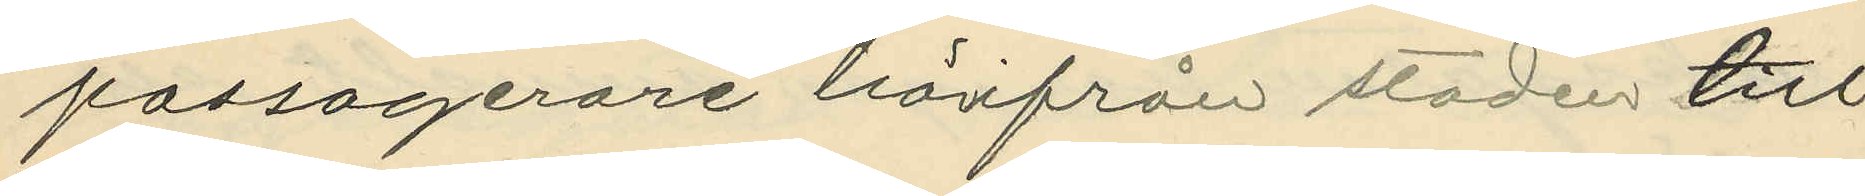passagerare härifrån staden till
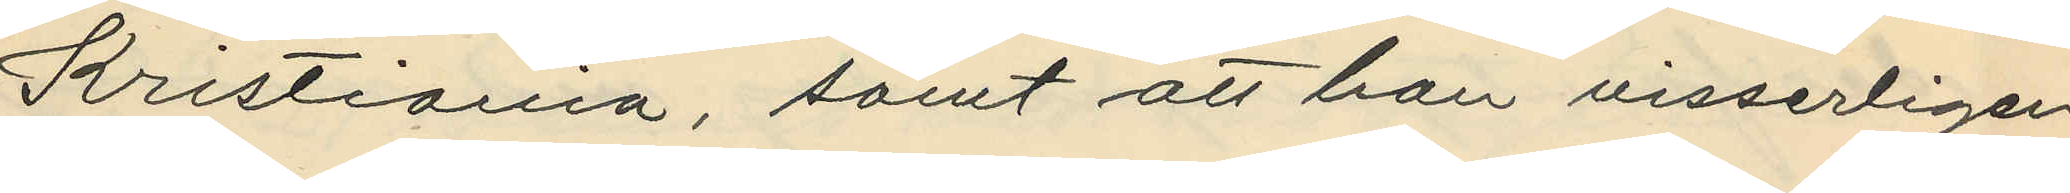Kristiania, samt att hon visserligen
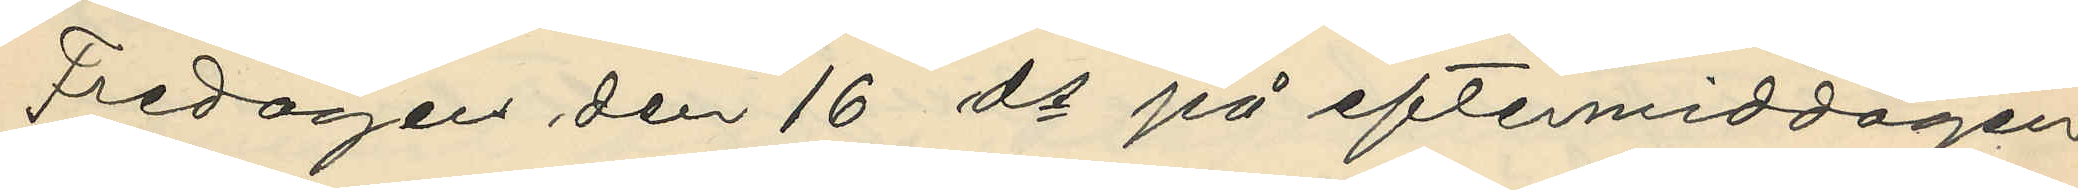Fredagen den 16 ds på eftermiddagen
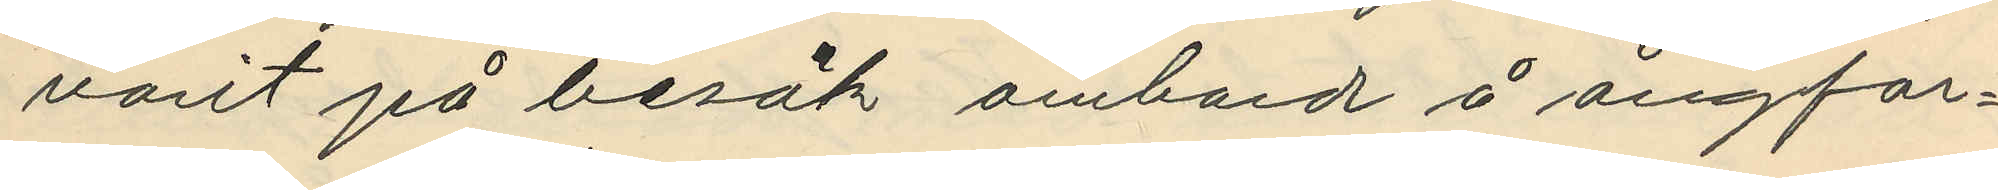varit på besök ombord å ångfar¬
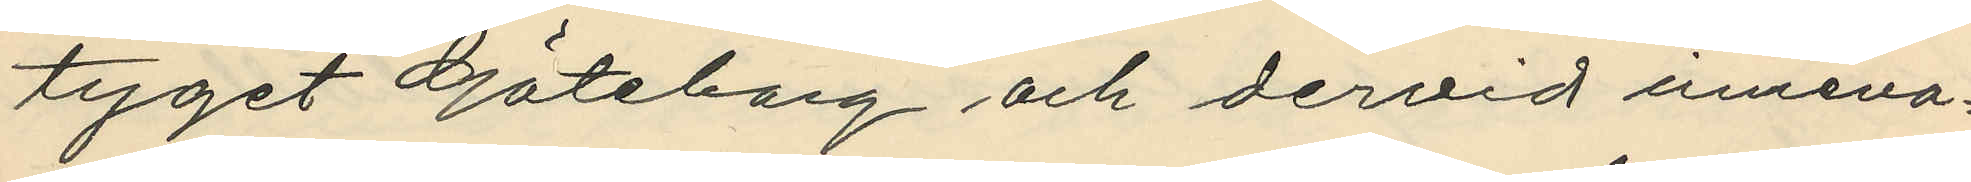tyget "Göteborg" och dervid inneva¬
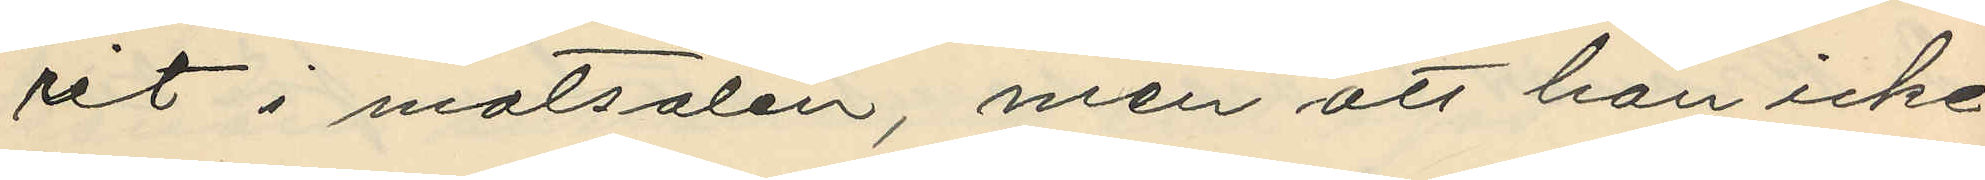rit i matsalen, men att hon icke
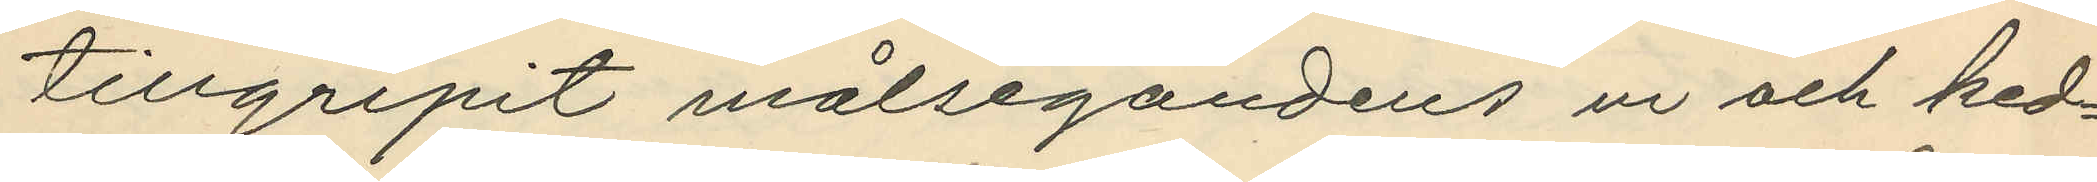tillgripit målsegandens ur och ked¬
